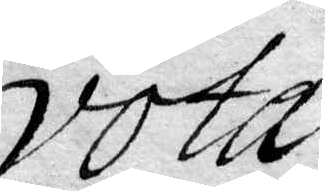vota
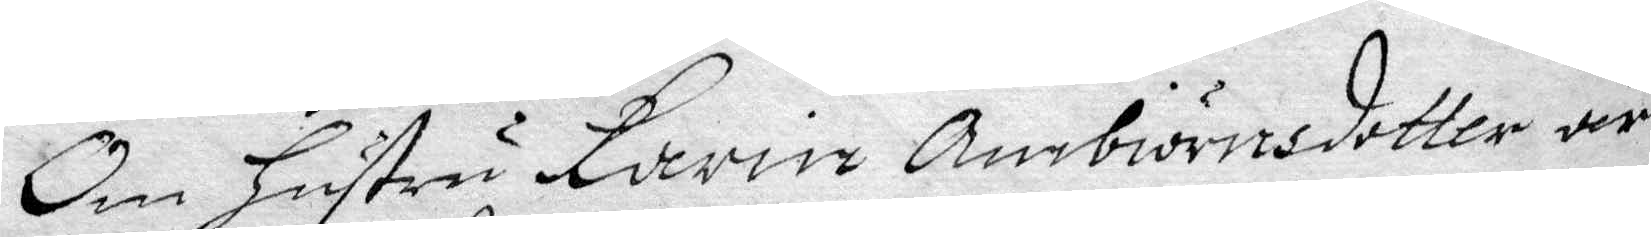Om Hustru Karin Ambiörnsdotter är
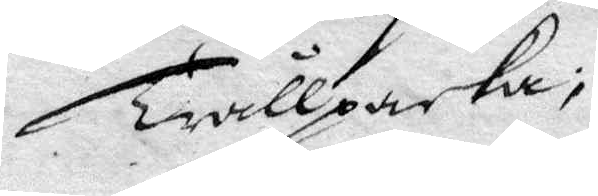Trållpacka;
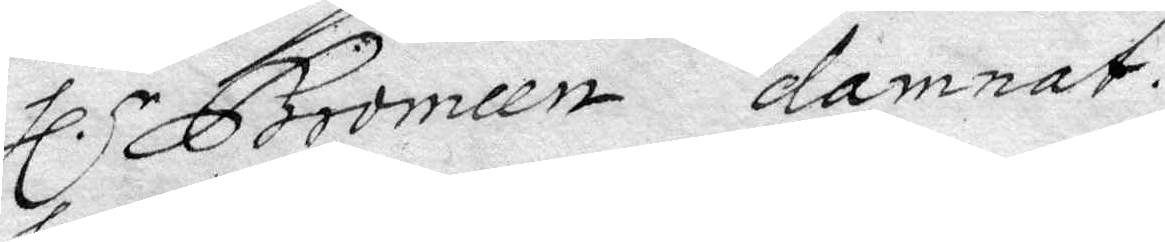Hl.r Bromeen damnat.
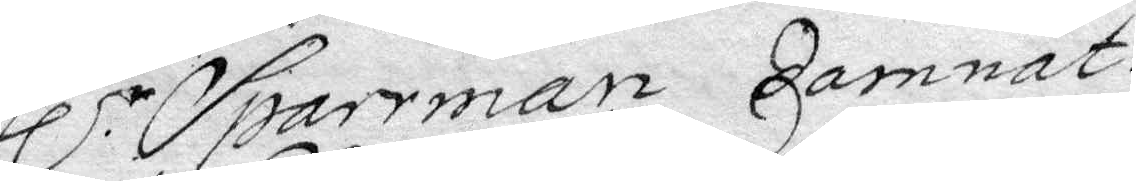Hl.r Sparrman damnat.
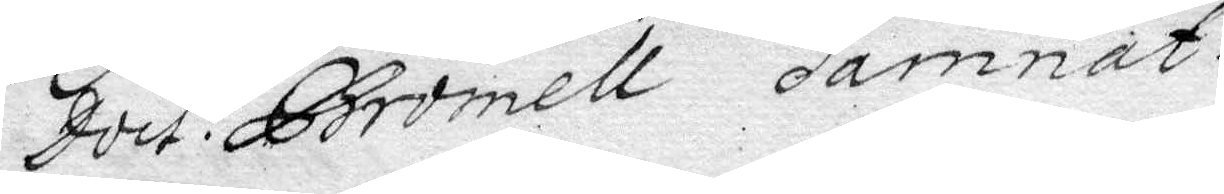Doct: Bromell damnat.
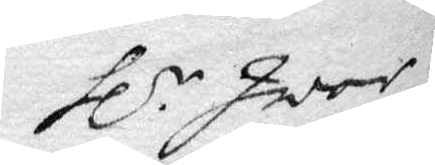Hl.r Iwar
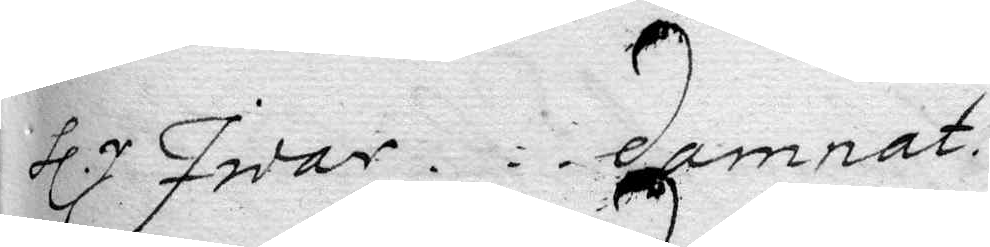Hl.r Iwar... damnat.
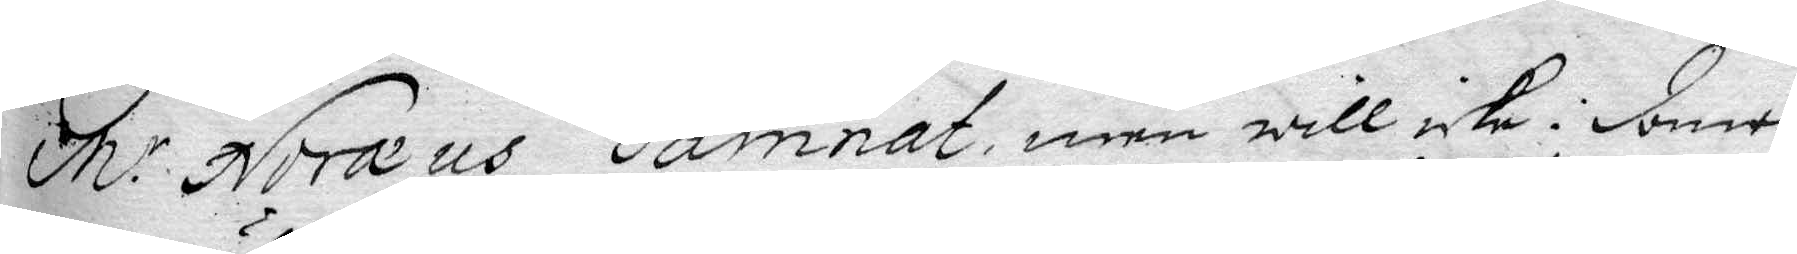M.r Noreus damnat, men will icke domen
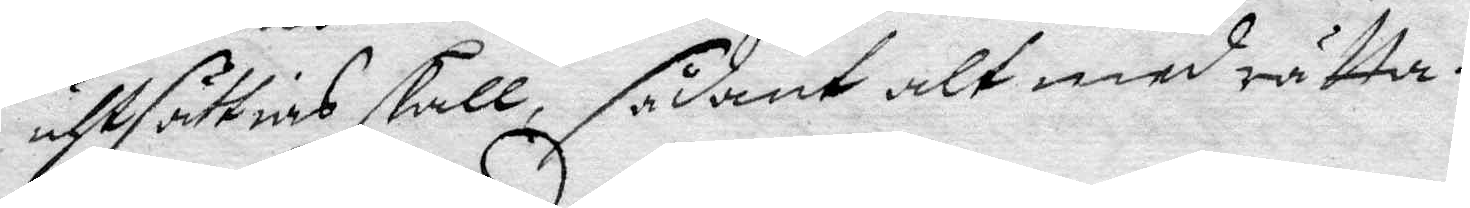uthsättias skall, sådant alt med rätta.
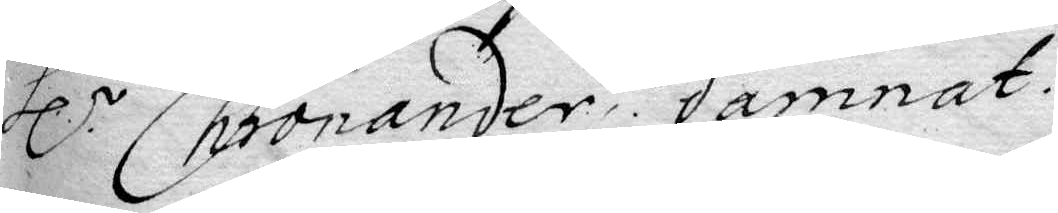Hl.r Chronande, damnat.
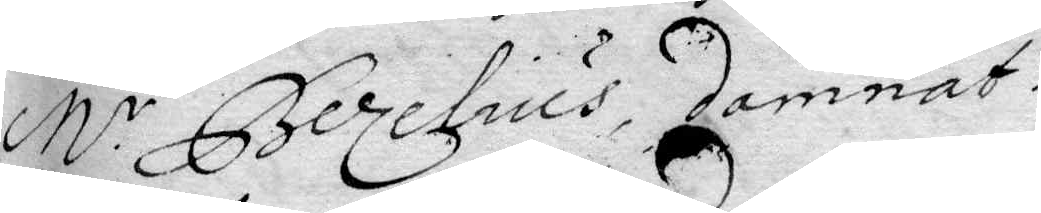M.r Berzelius, damnat.
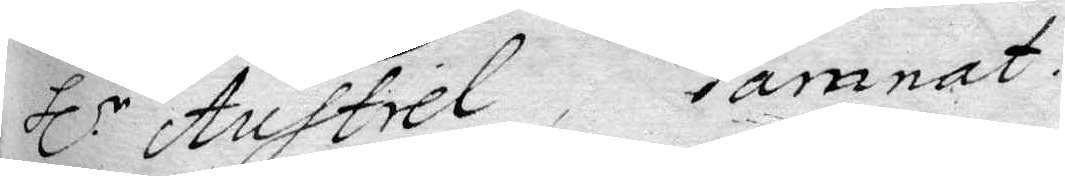Hl.r Austrel, damnam.
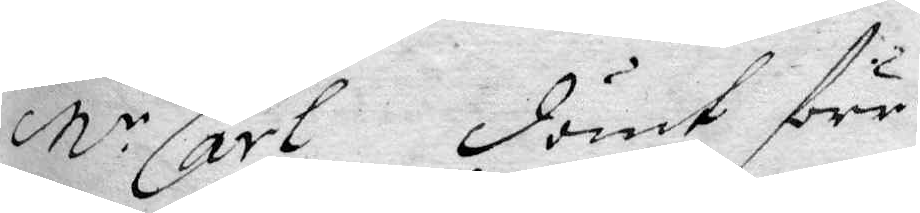M.r Carl dömt före
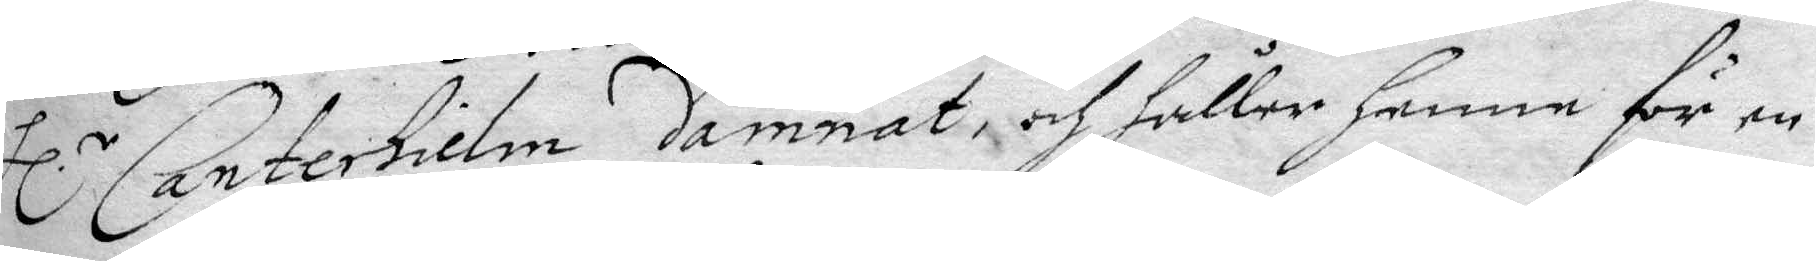Hl.r Canterhielm damnat och Håller Henne för en
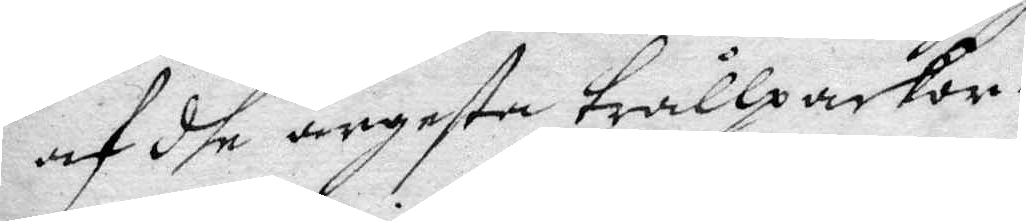af dhe argeste trållpackor.
